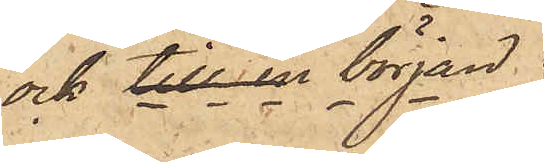ock till en början.
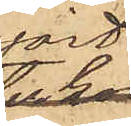gjort.
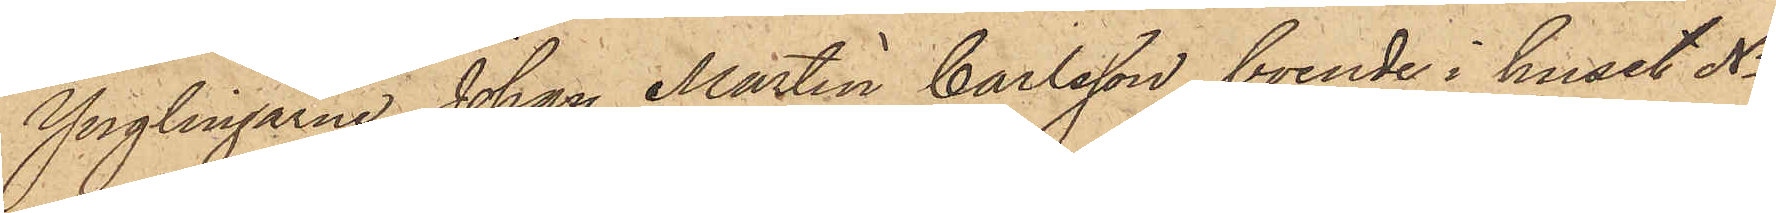Ynglingarne Johan Martin Carlsson, boende i huset No
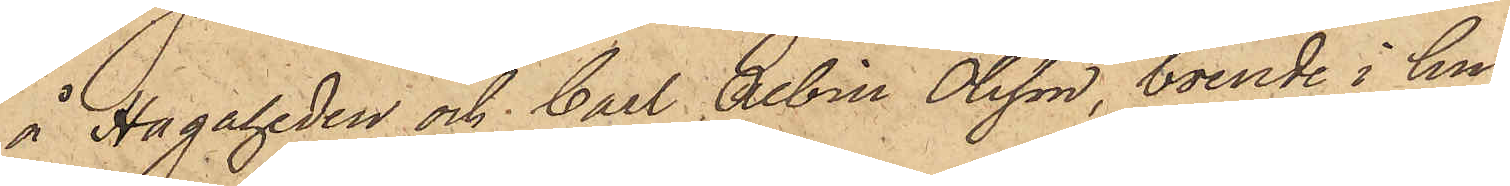å Hagaheden och Carl Albin Olsson, boende i hu¬
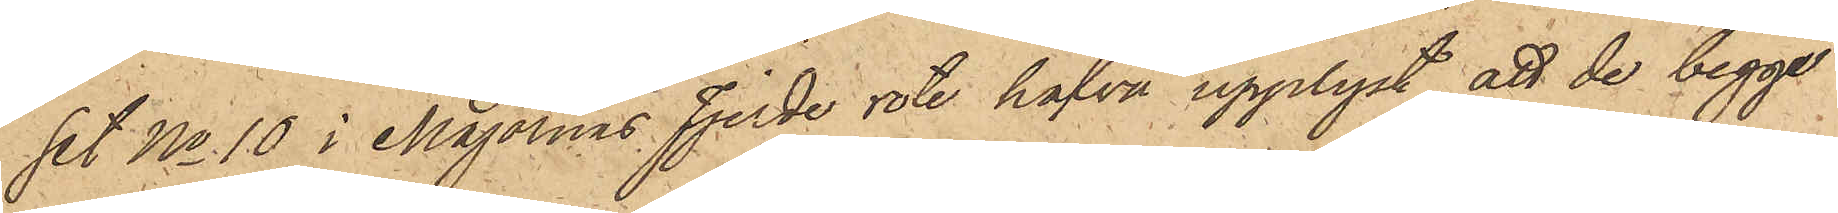set No 10 i Majornas fjerde rote hafva upplyst, att de begge
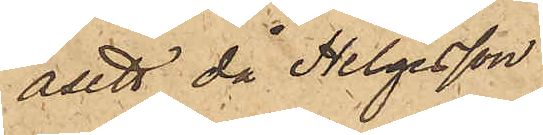åsett då Helgesson
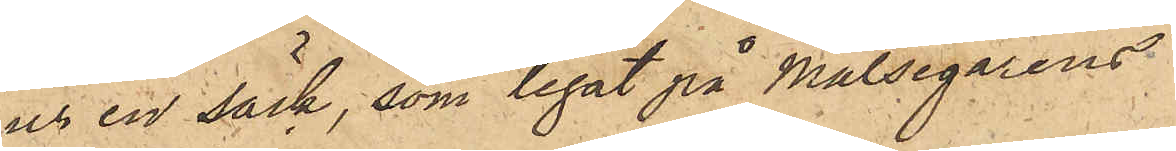ur en säck, som legat på målsegarens
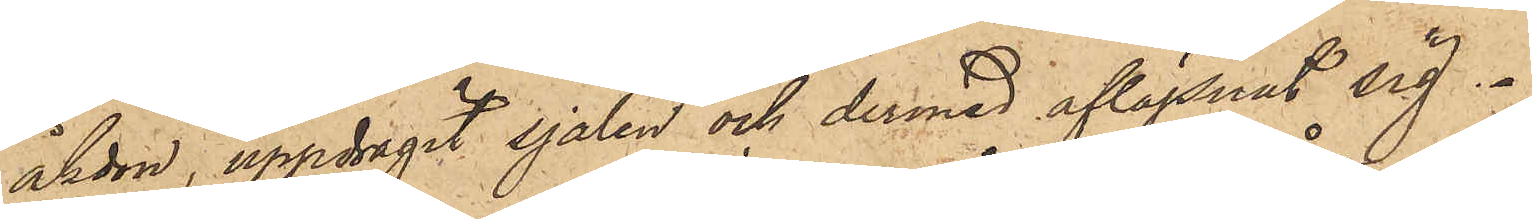åkdon, uppdragit sjalen och dermed aflägsnat sig.
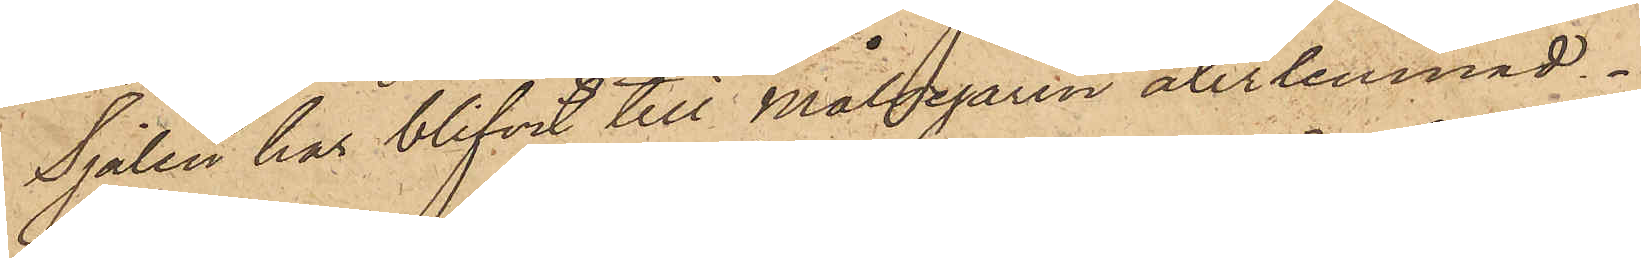Sjalen har blifvit till Målsegaren återlemnad.
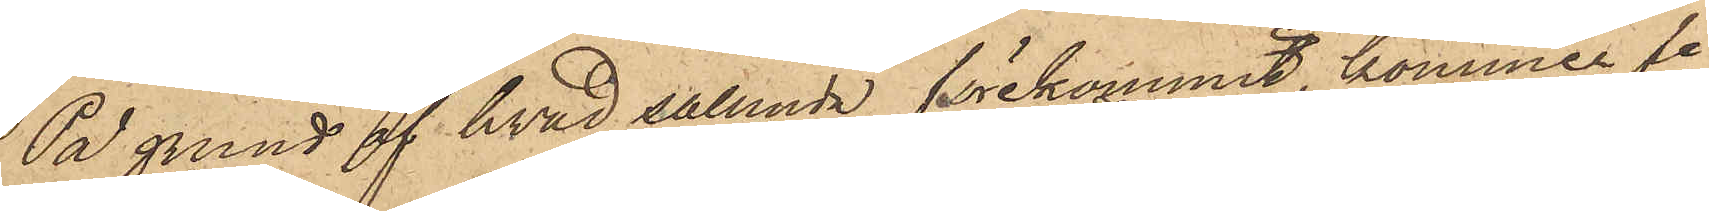På grund af hvad sålunda förekommit, kommer fre
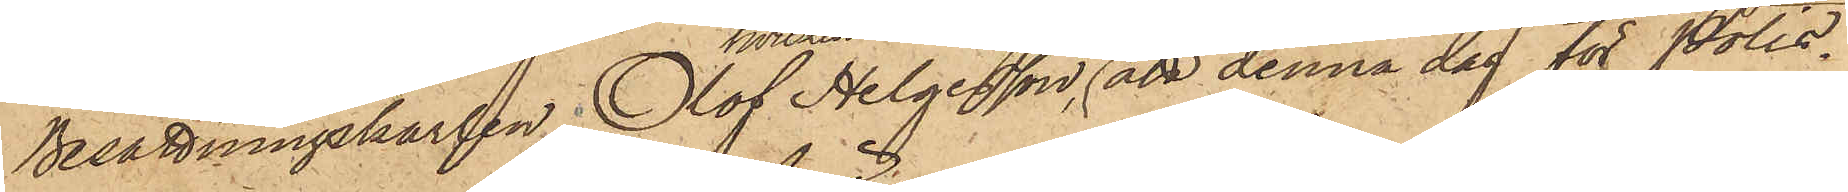Besättningskarlen Olof Helgesson,
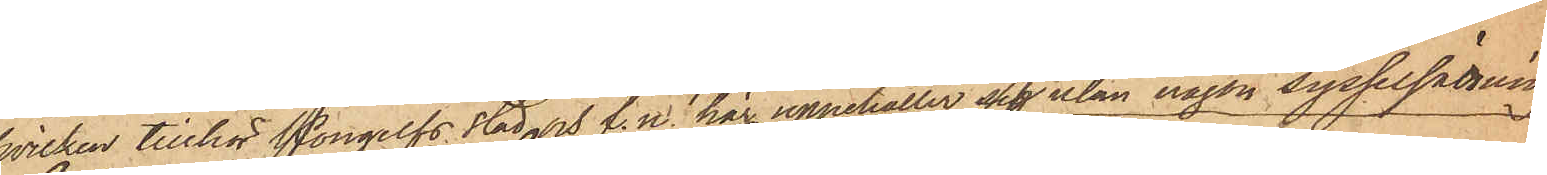hvilken tillhör Kongelfs stad och f.n. här uppehåller sig utan någon sysselsättning
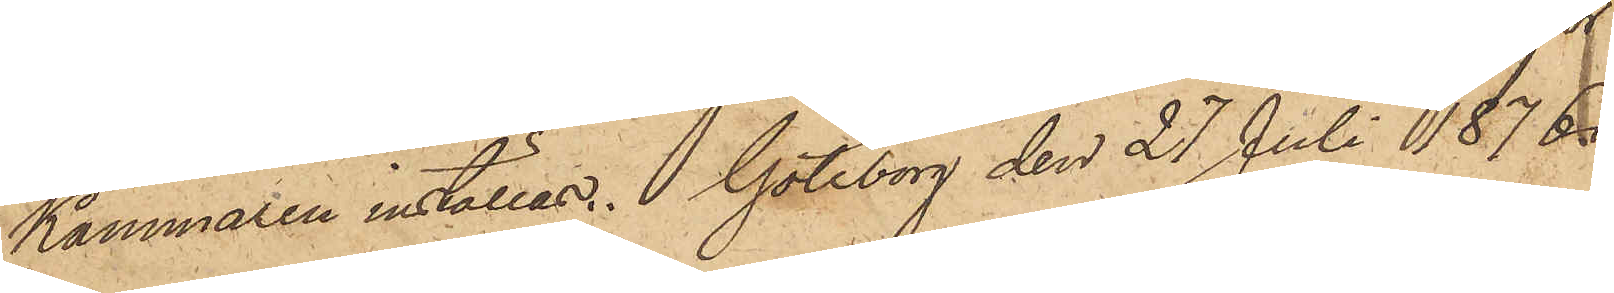att denna dag för PolisKammaren inställas. Göteborg den 27 Juli 1876.
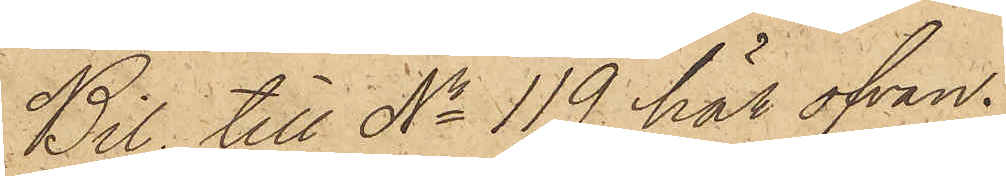Bil. till No 119 här ofvan
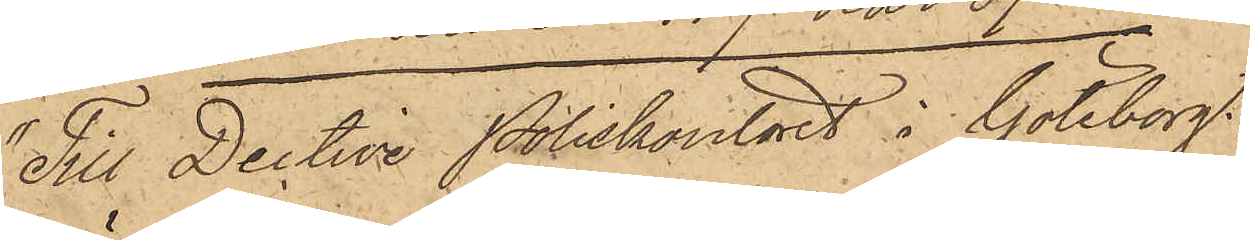"Till Dective Poliskontoret i Göteborg
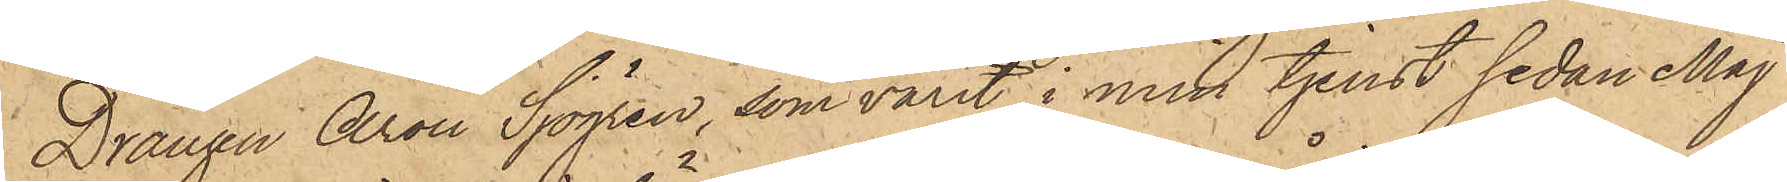Drängen Aron Sjögren, som varit i min tjenst sedan Maj
